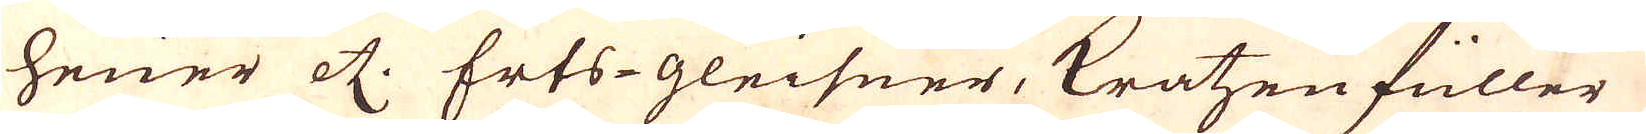heuer etc. Erts-gleisner, kratzenfüller,
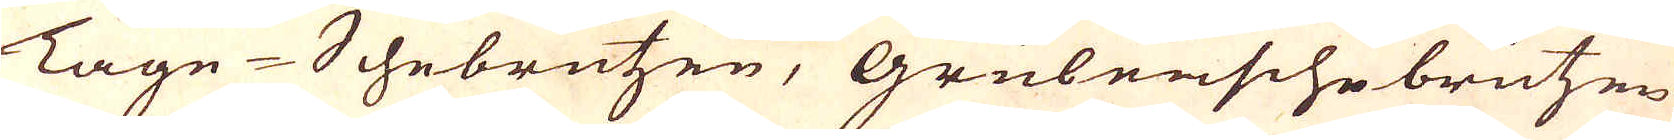Tagn-Schebrützen, Grubenschebrutzen
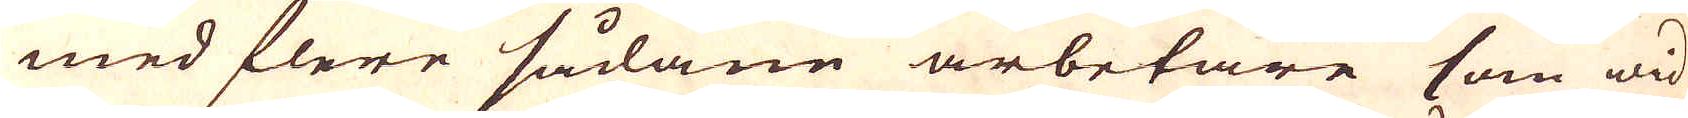med flere sådane arbetare som wid
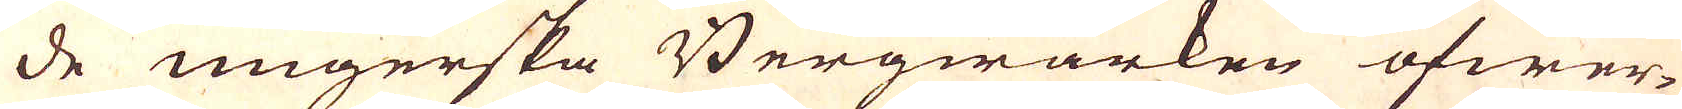de ungerska Bergwärken öfwer-
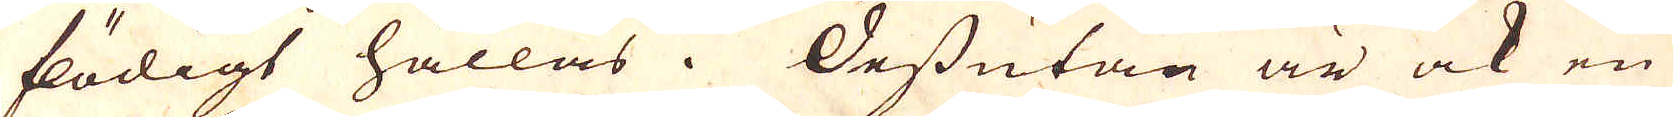flödigt hållas. Dessutan är ock en
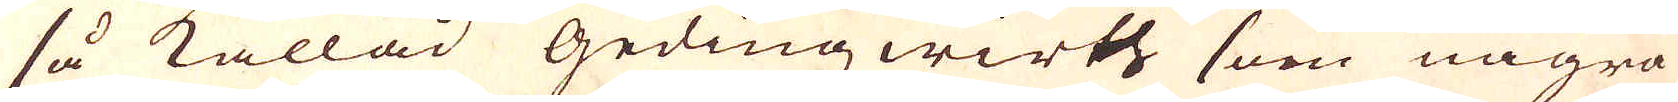så kallad Gedingzwirts som några
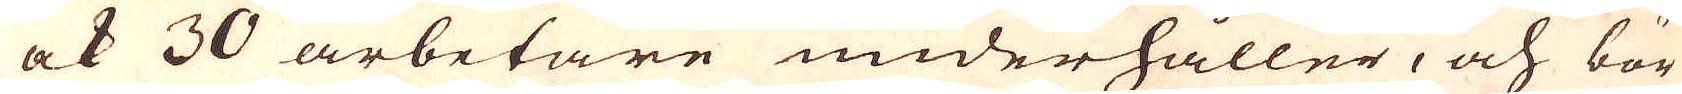ock 30 arbetare underhåller, och bör
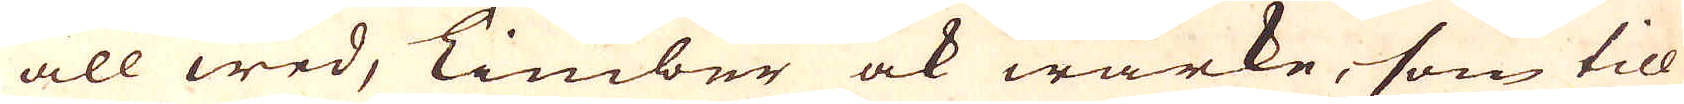all wed, Timber ock wärke, som till
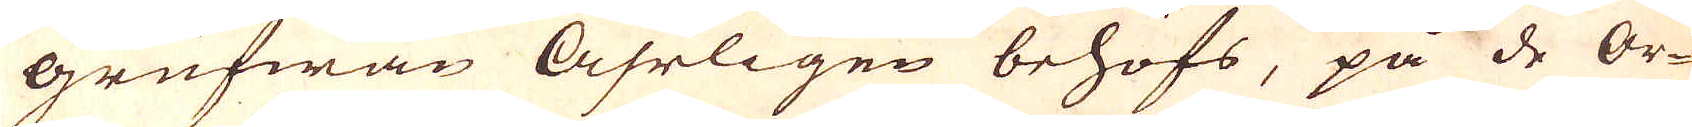Grufwan Åhrligen behöfs, på de Or-
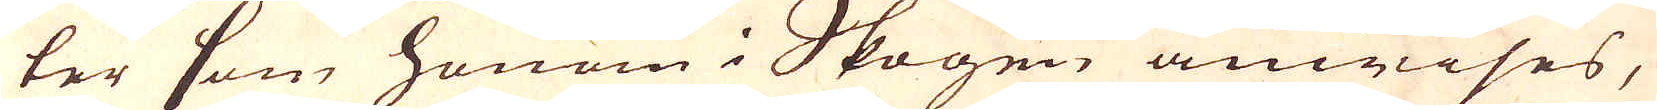ter som honom i Skogen anwises,
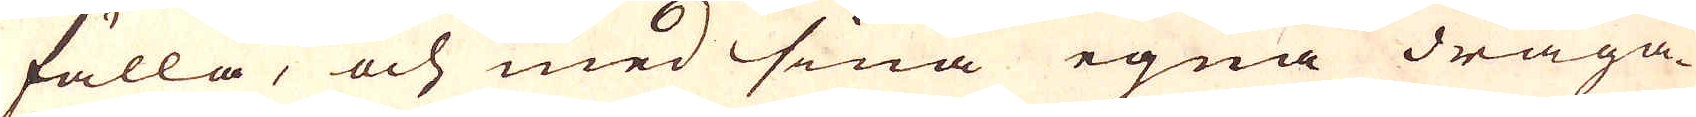fälla, och med sina egna draga-
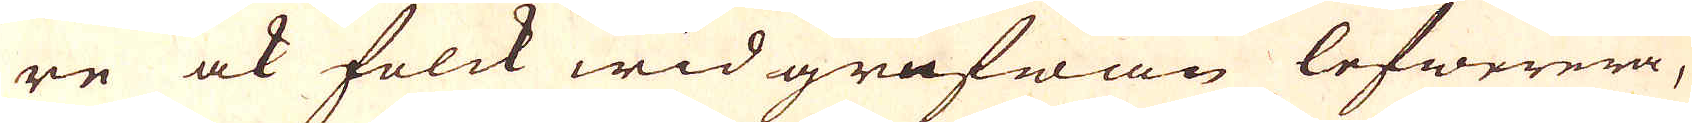re ock folck wid grufwan lefwerera,
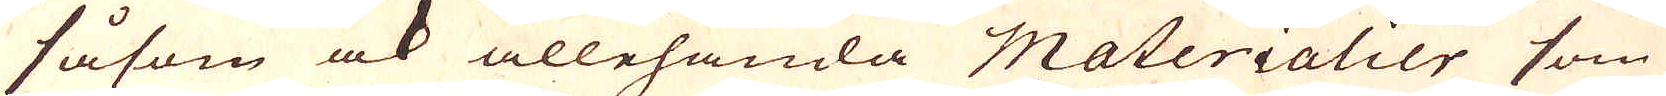såsom ock allehanda Materialier som
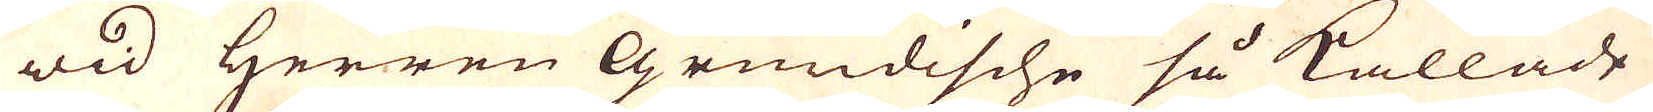wid Herren Grundische så kallade
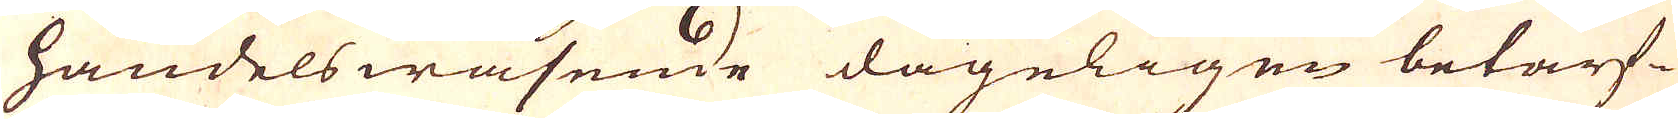handels wäsende dageligen betarf-
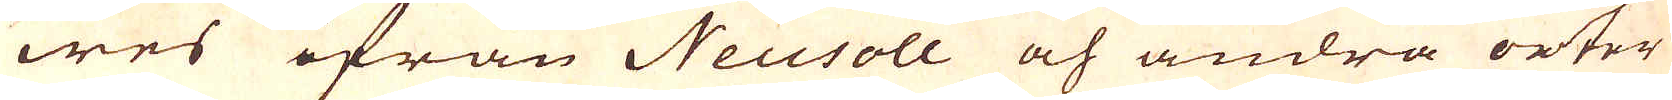wes ifrån Neusoll och andra orter
